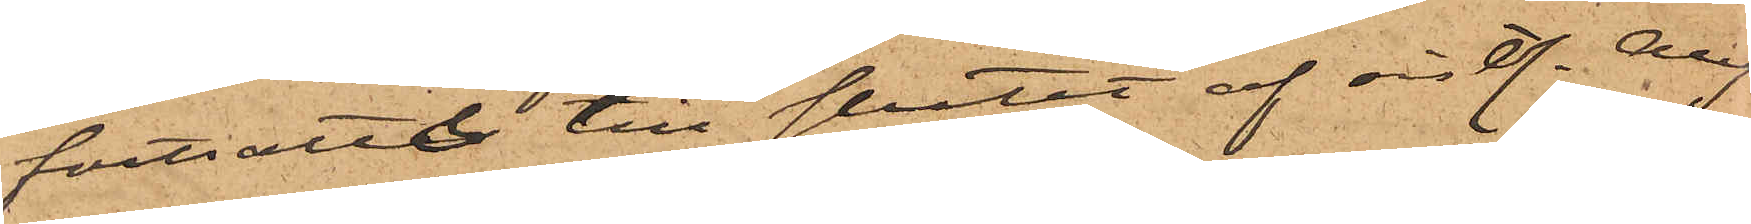fortsatte till slutet af sistl. Aug
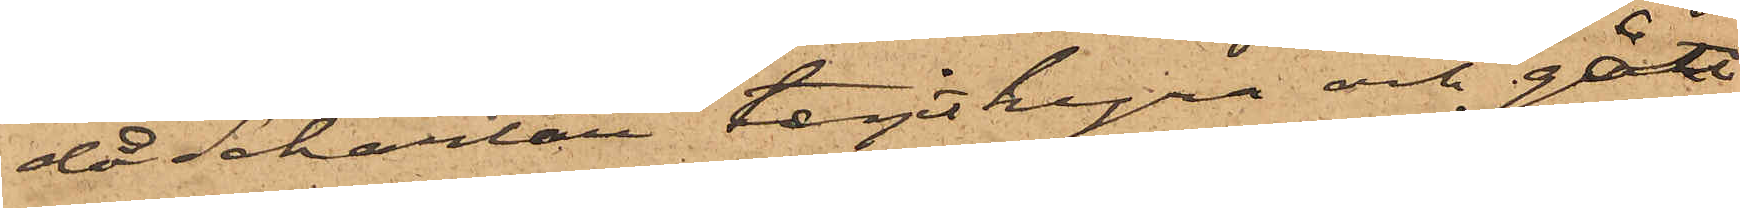då Schartau tagit hyra och gått
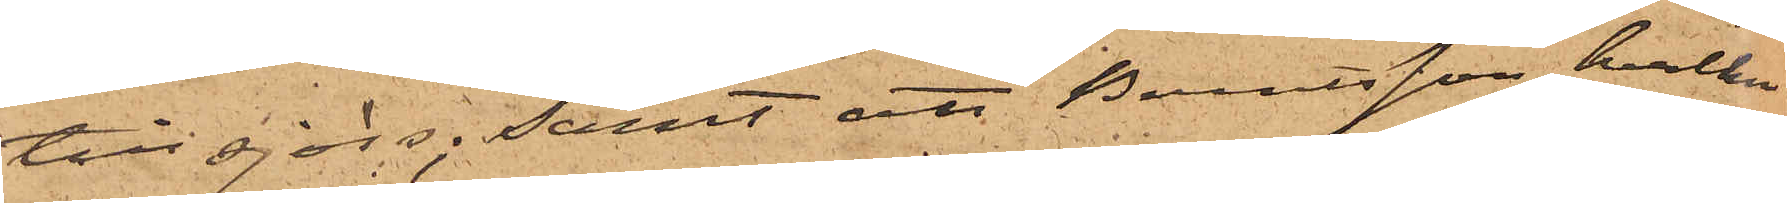till sjöss; samt att Berntsson, hvilken
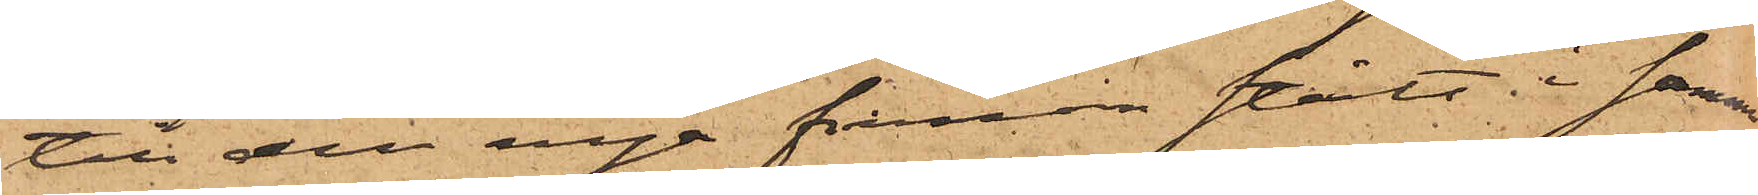till den nya firman stått i samma
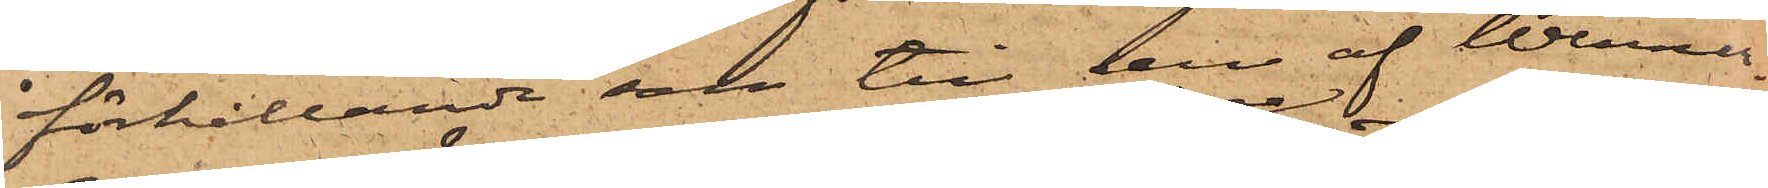förhållande som till den af Wenner¬
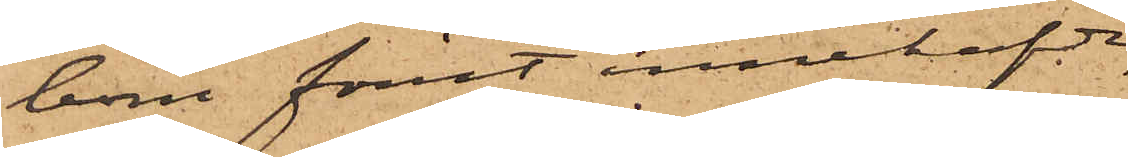bom förut innehafde,
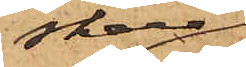skall
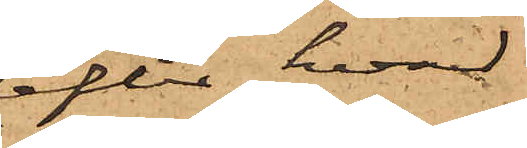efter hvad
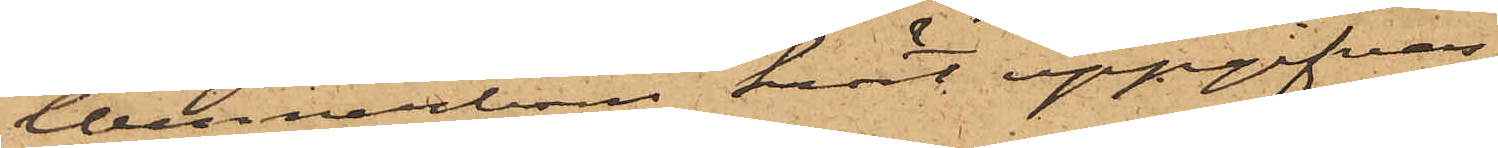Wennerbom hört uppgifvas,
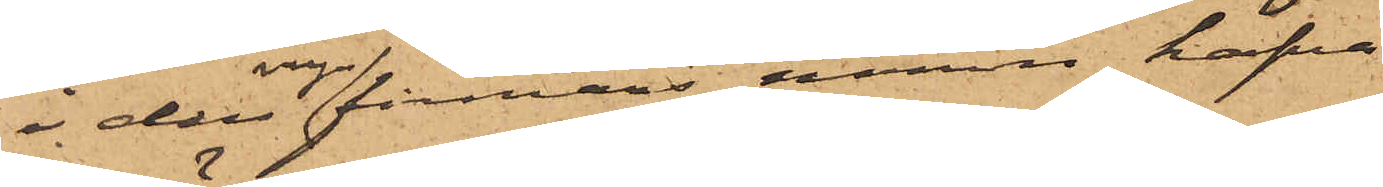i den nya firmans namn hafva
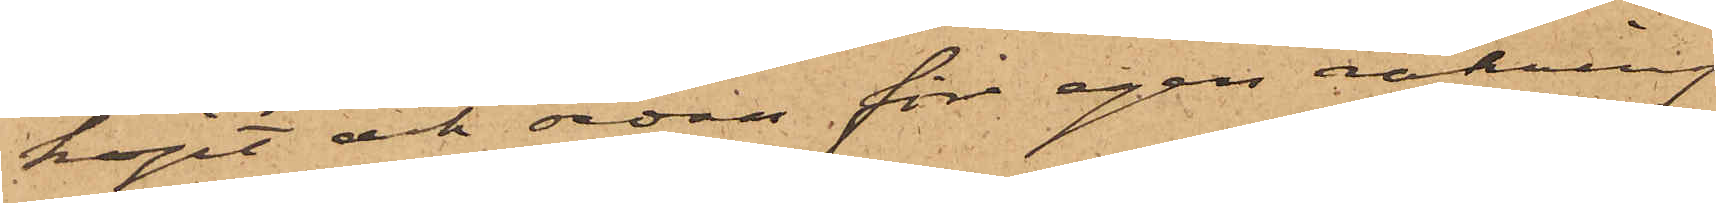köpt och sedan för egen räkning
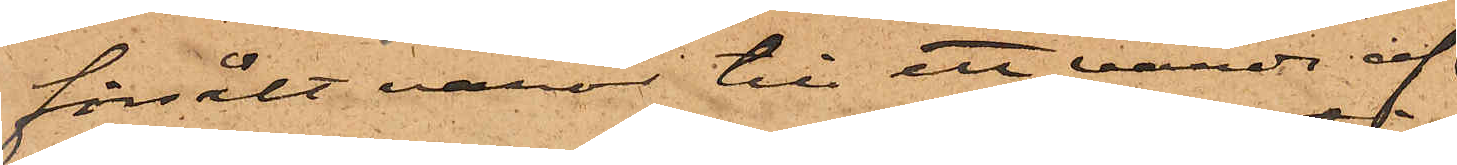försålt varor till ett värde af
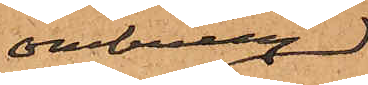omkring
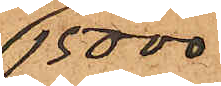15 000
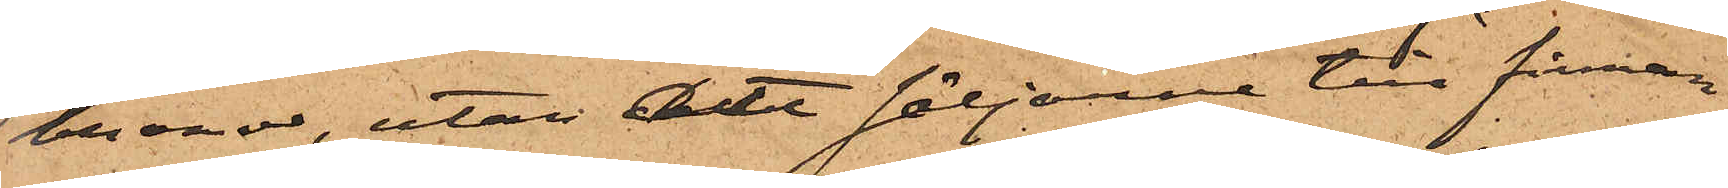kronor, utan att säljarna till firman
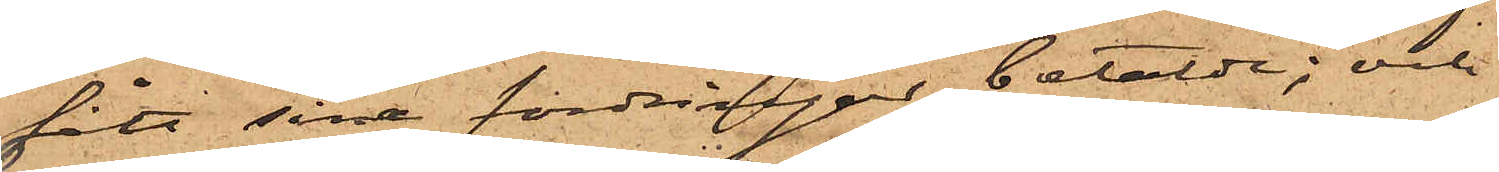fått sina fordringar betalde; och
